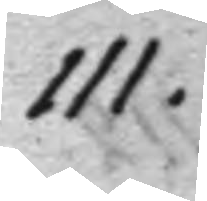111.
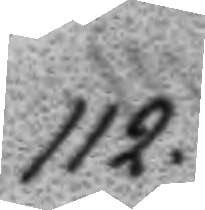112.
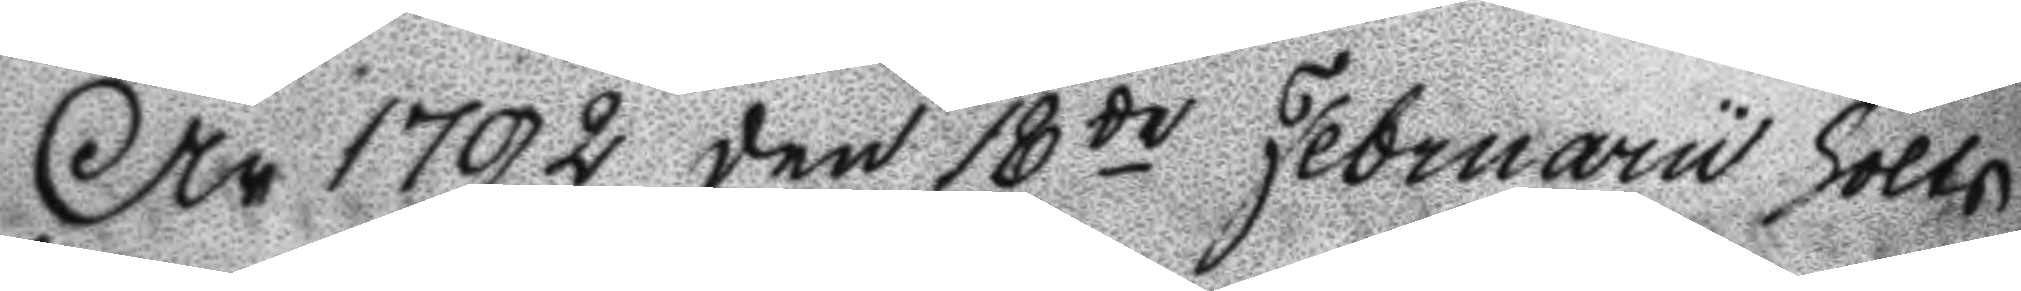År 1792 den 18de Februarii hölts
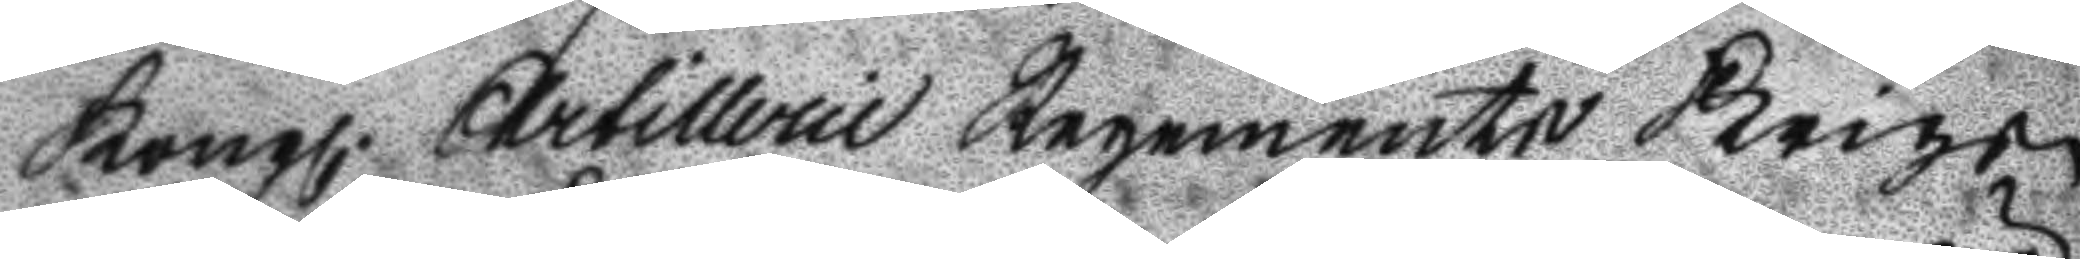Kongl. Artillerie Regemente Krigs
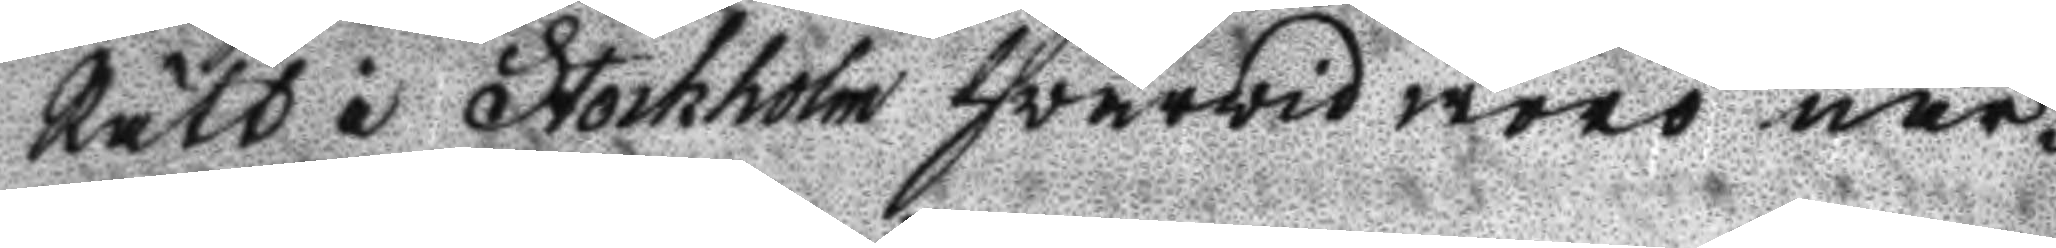Rätt i Stockholm hvarvid woro när¬
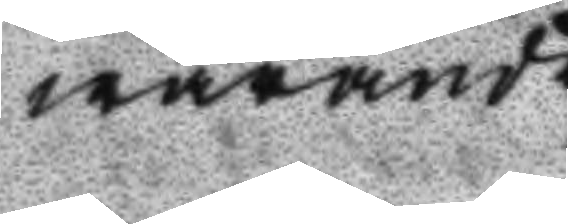warande
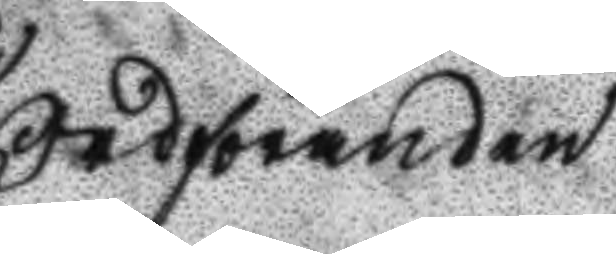Ordföranden
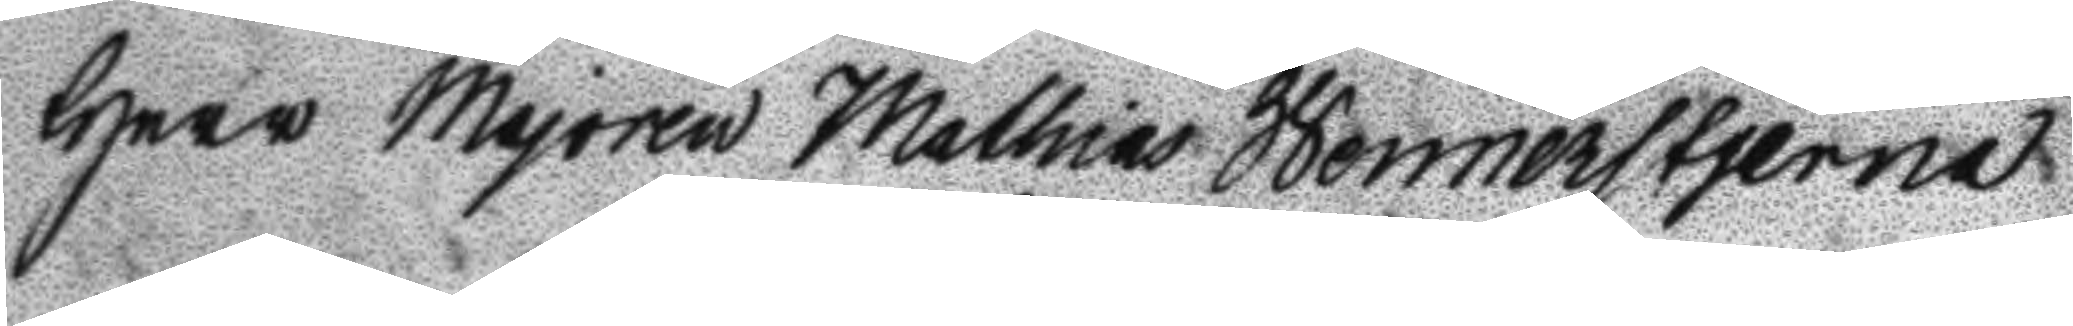Herr Majoren Mathias Wennerstjerna
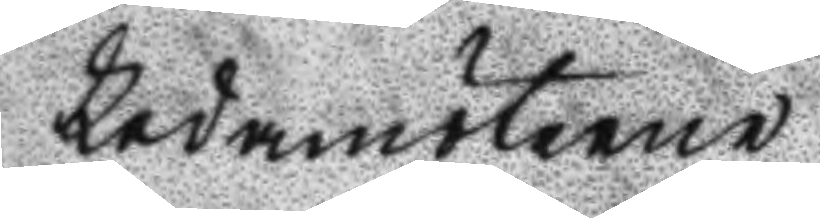Ledamöterne
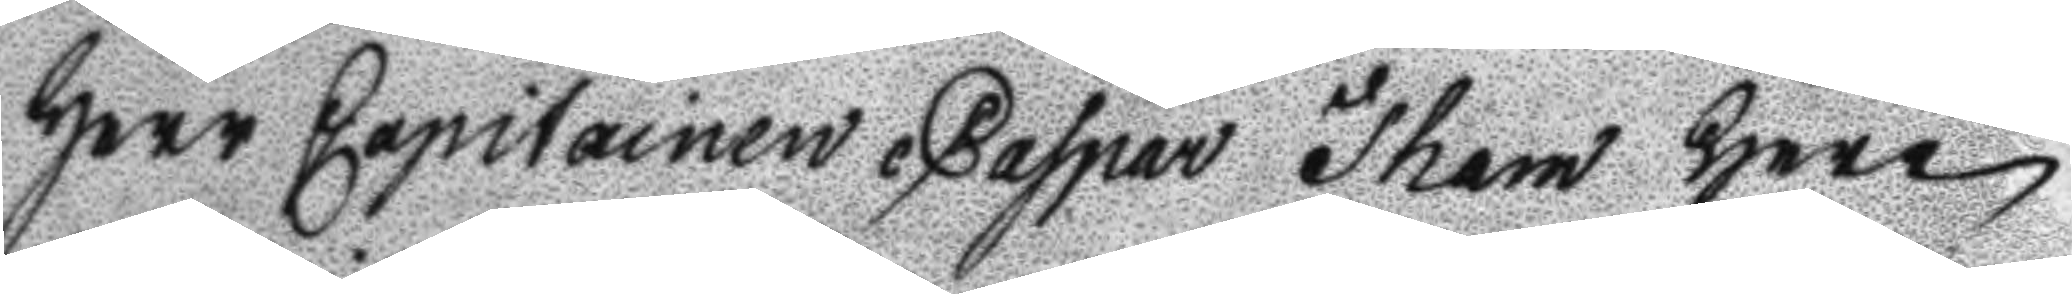Herr Capitainen Caspar Tham Herr
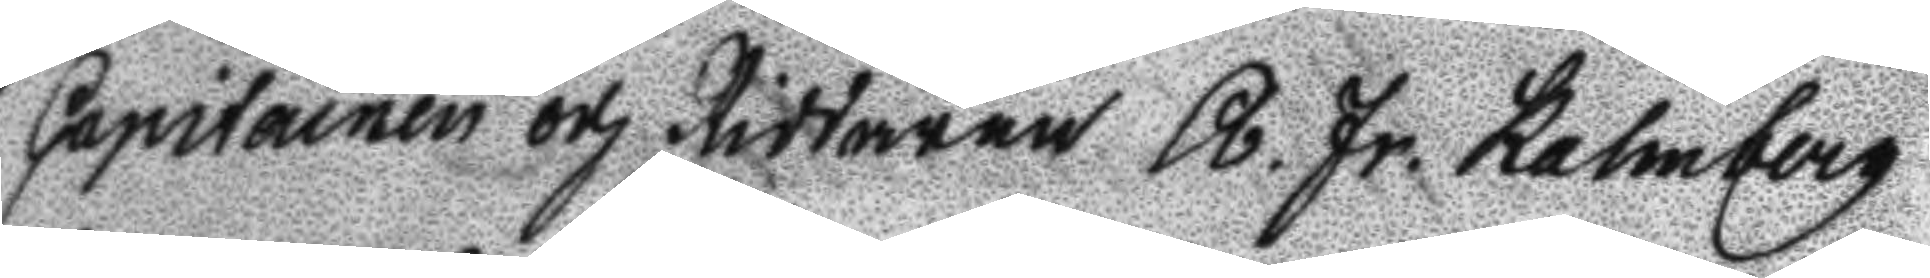Capitainen och Riddaren R. Fr. Kalmberg
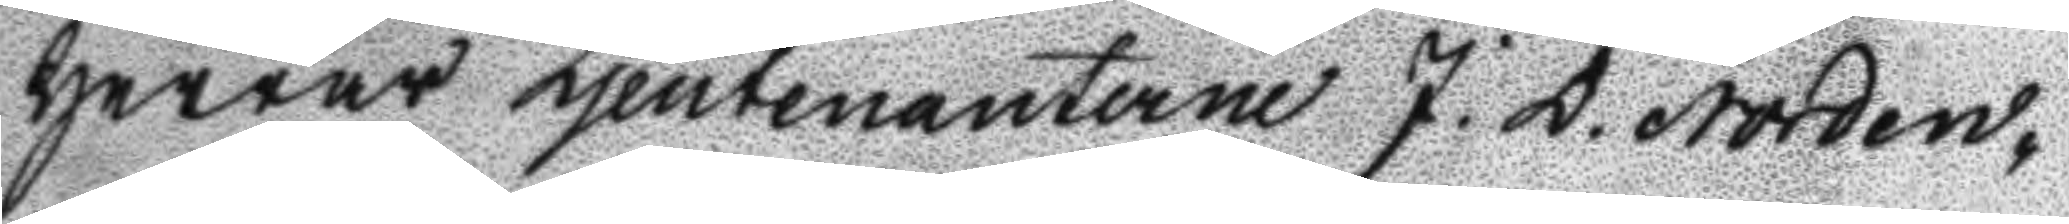Herrar Ljeutenanterne J. D. Norden¬
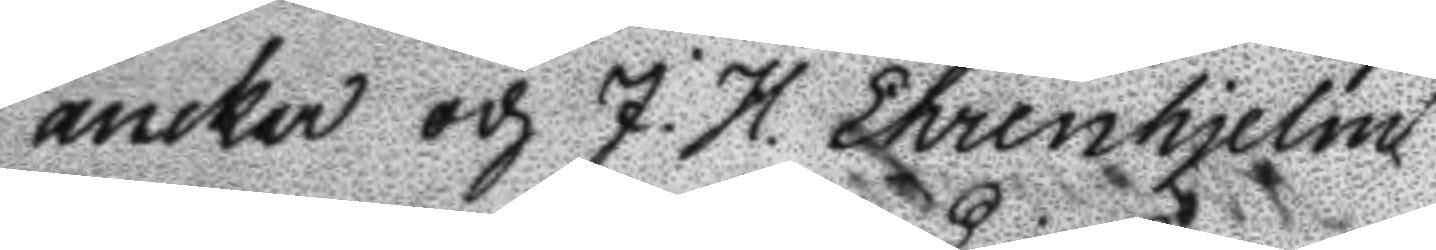ancker och J. H. Ehrenhjelm
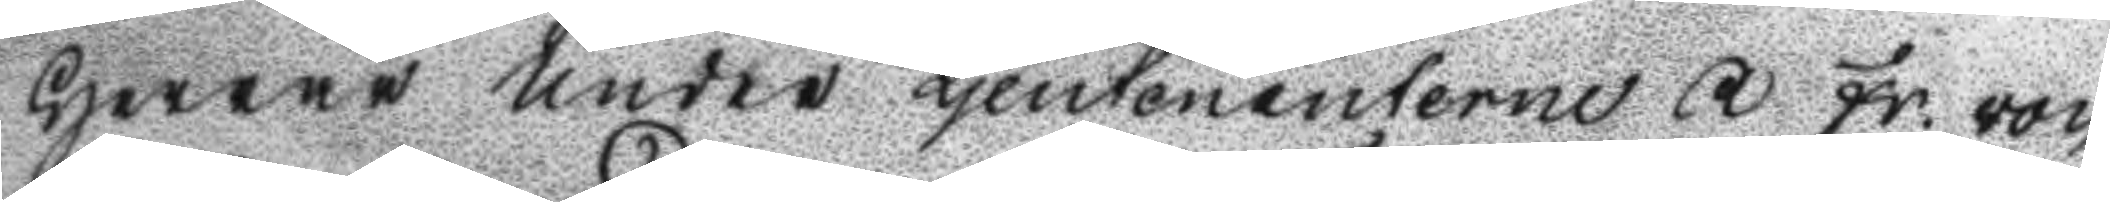Herrar under Ljeutenanterne R Fr. von
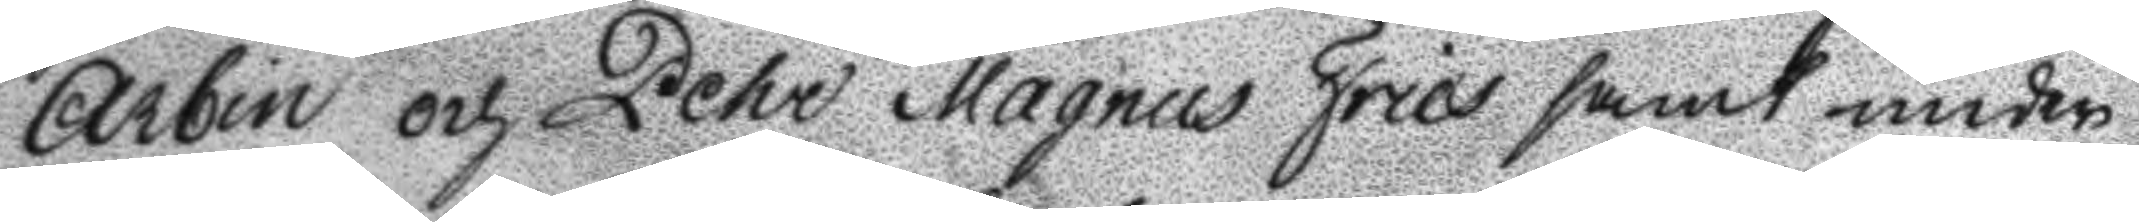Arbin och Pehr Magnus Fries samt under
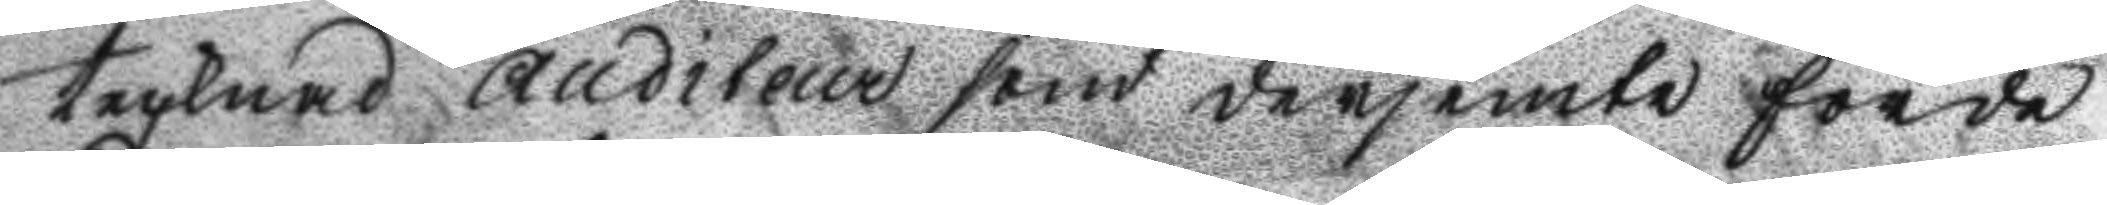tecknad Auditeur som derjemte förde
